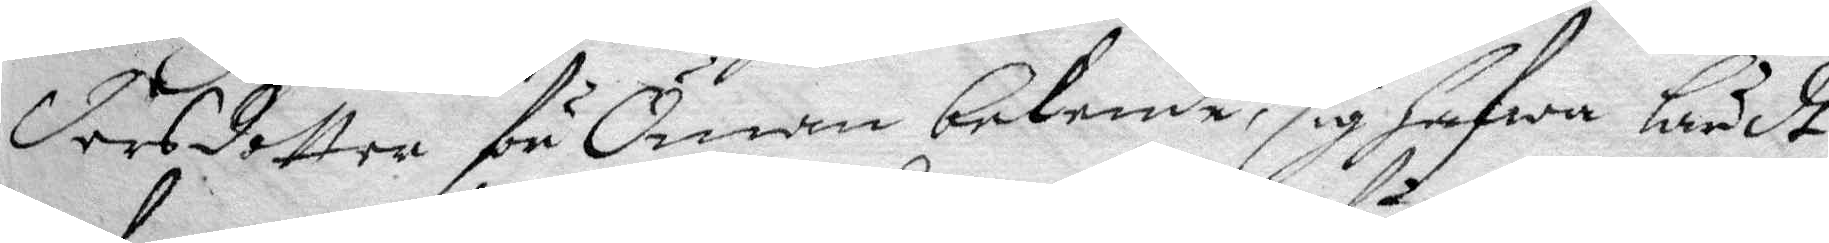dersdotter för Öman bekende, sig hafwa lärdt
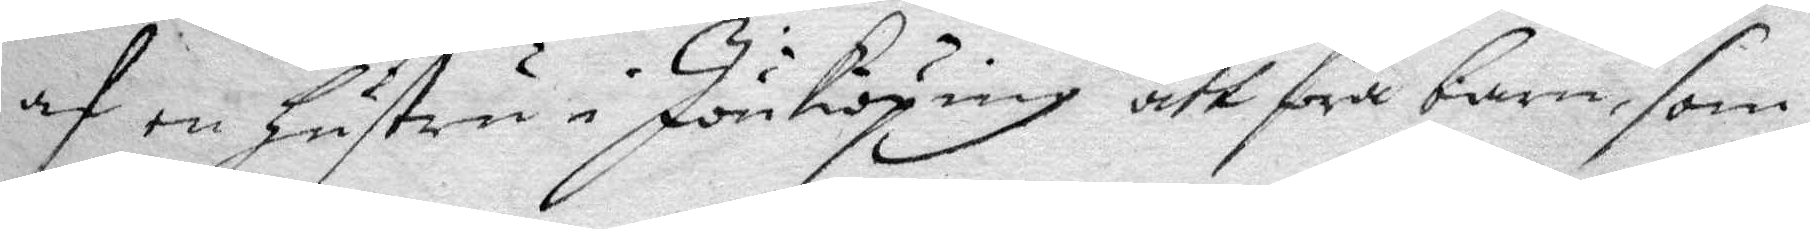af en hustru i Jönköping att föra barn som
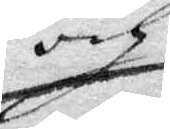och
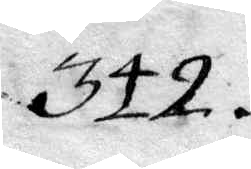342.
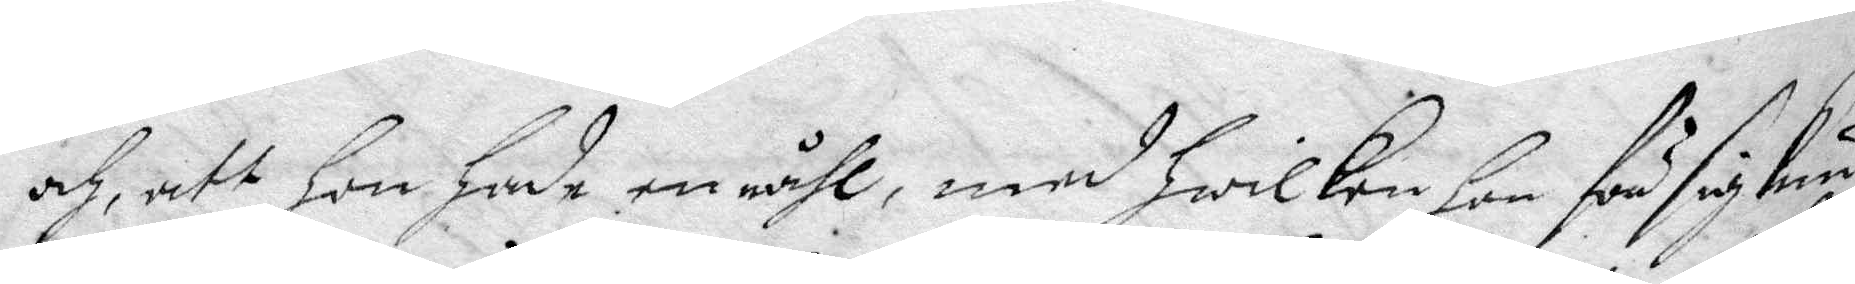och, att hon hade en nåhl, med hwilken hon för sig kun¬
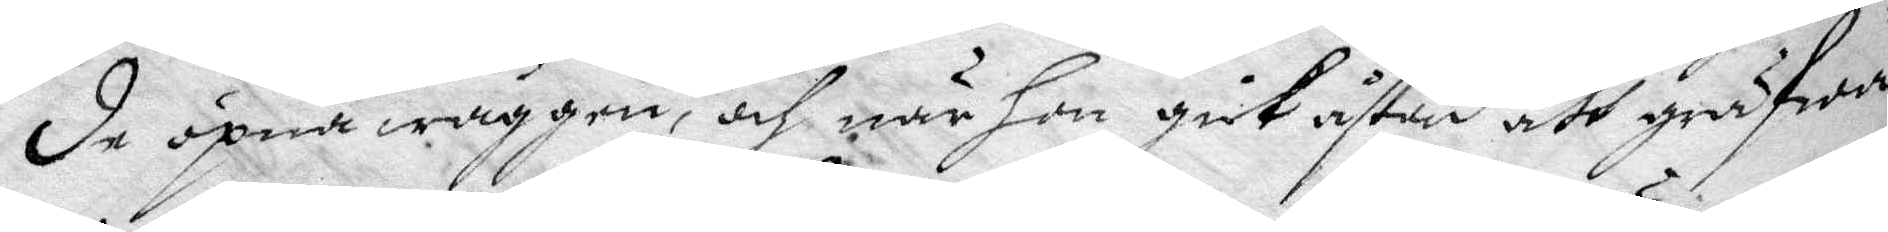de öpna wäggen, och när hon gick åstad att gräfwa
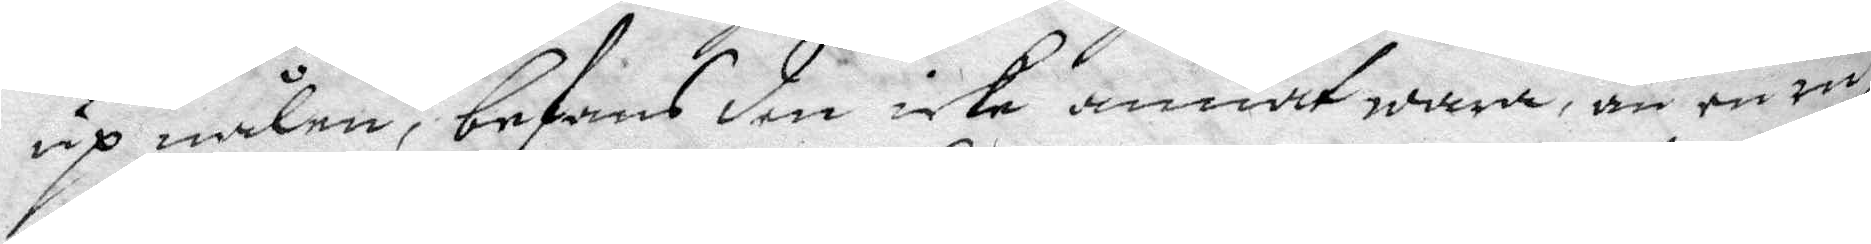up nålen, befans den icke annat wara, än en ru¬
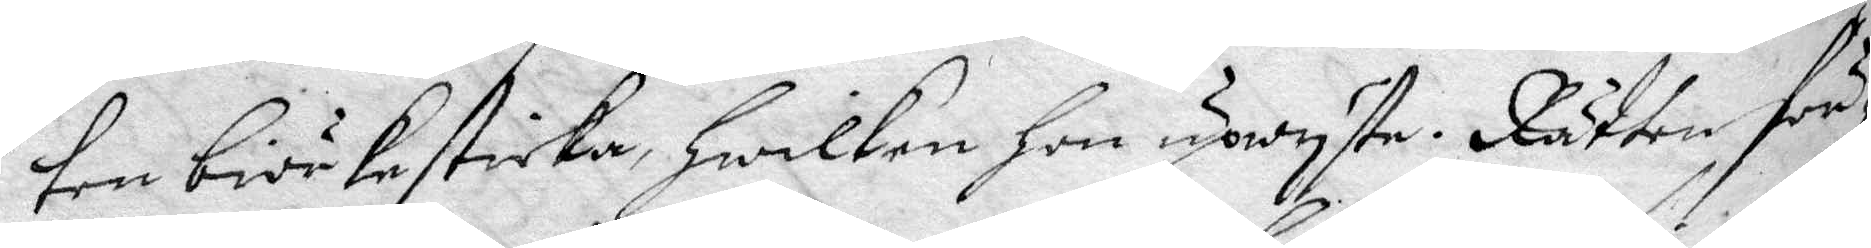ten biörkesticka, hwilken hon upwiste. Rätten för¬
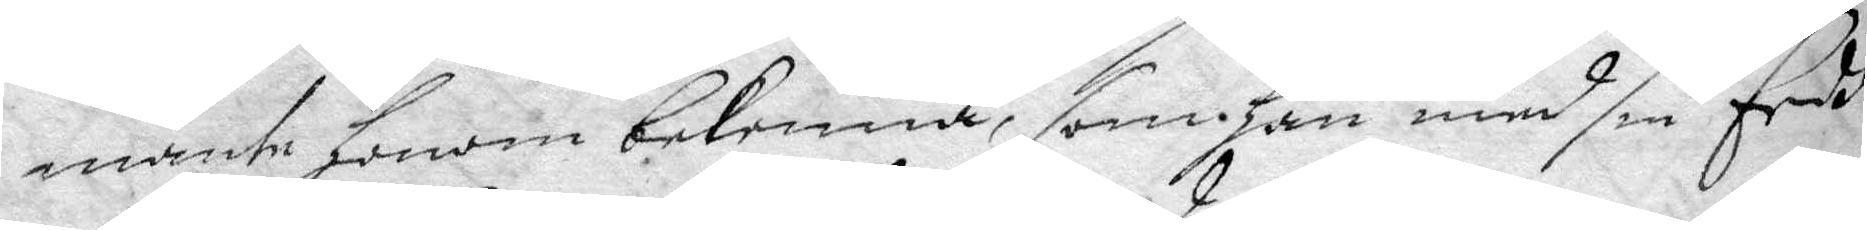mante honom bekenna, som han med sin Eedh
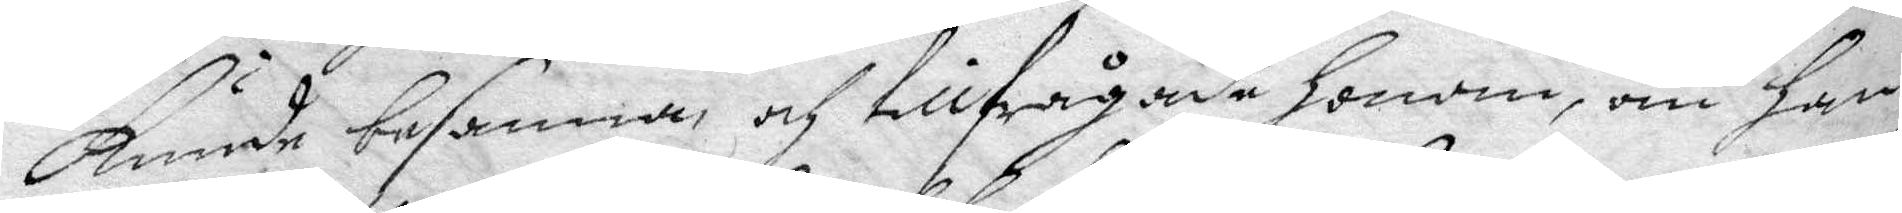kunde besanna, och tillfrågade honom, om han
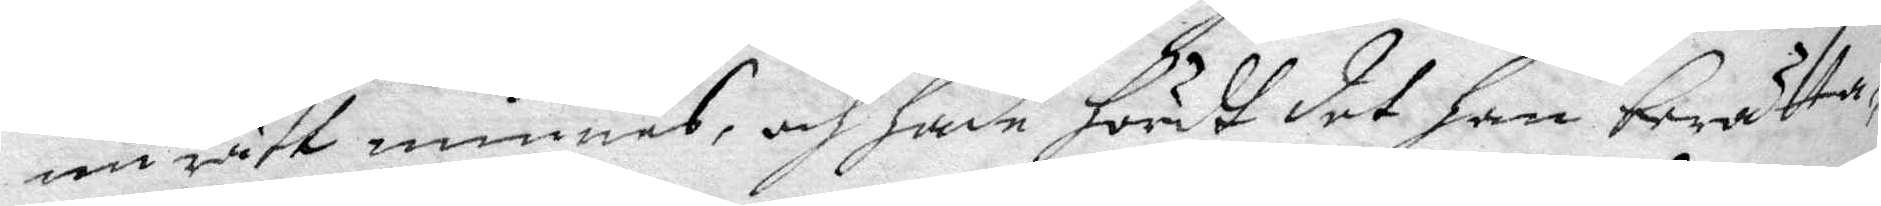nu rätt minnes, och hade hördt det han berätta¬
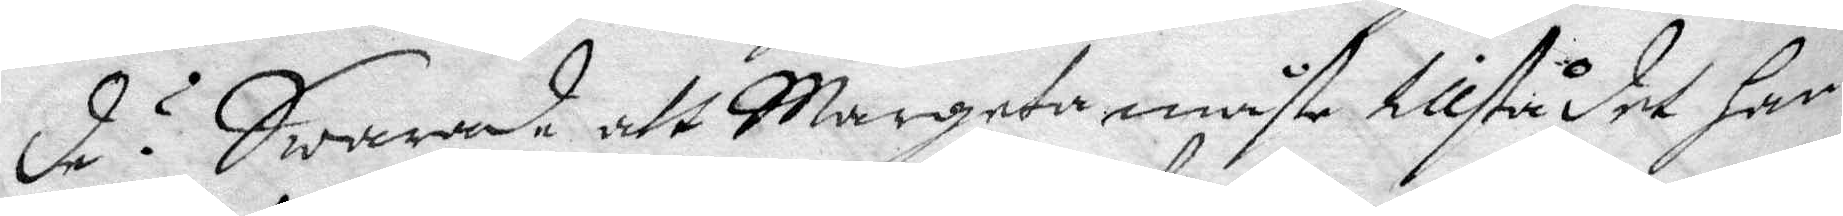de? Swarade, att Margeta måste tillstå det han
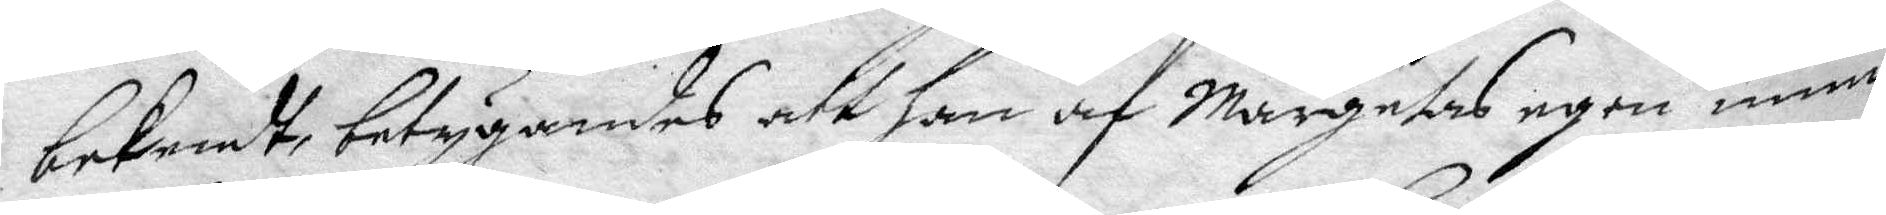bekendt, betygande att han af Margetas egen mun
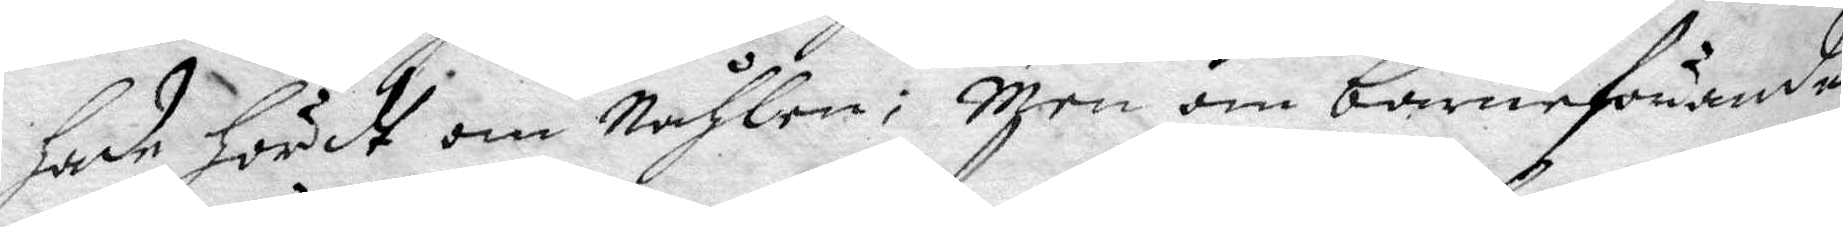hade hördt om Nåhlen; Men om barnaförande
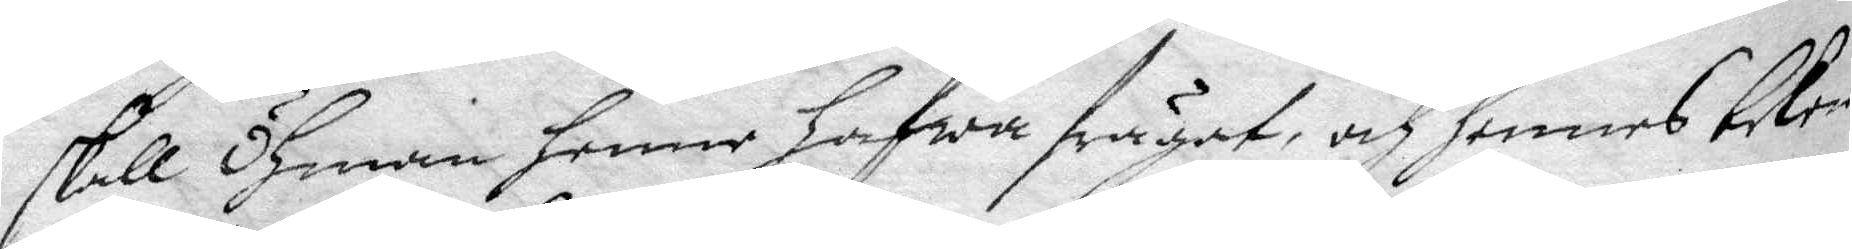skall Öhman henne hafwa frågat, och hennes beken¬
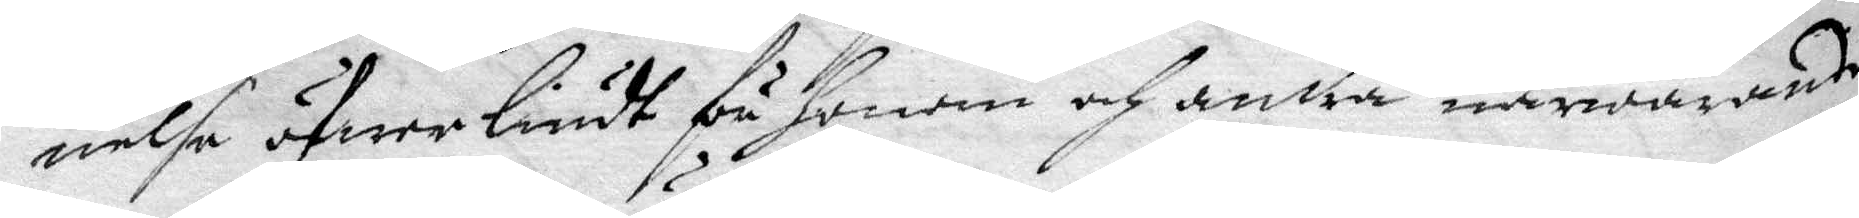nelse öfwer liudt få honom och andra närwarande
